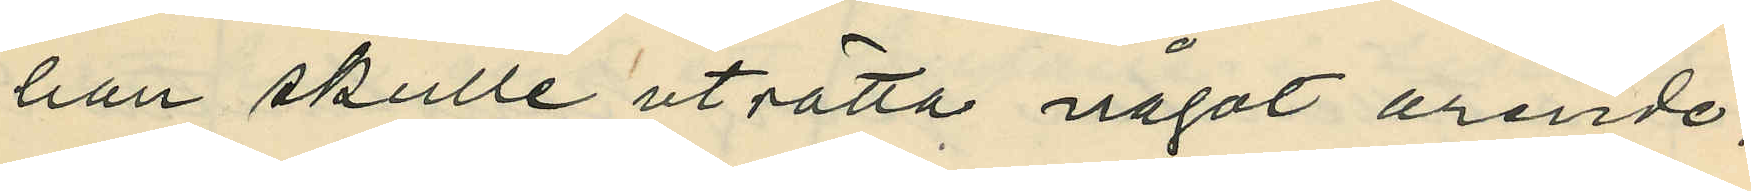han skulle uträtta något ärende;
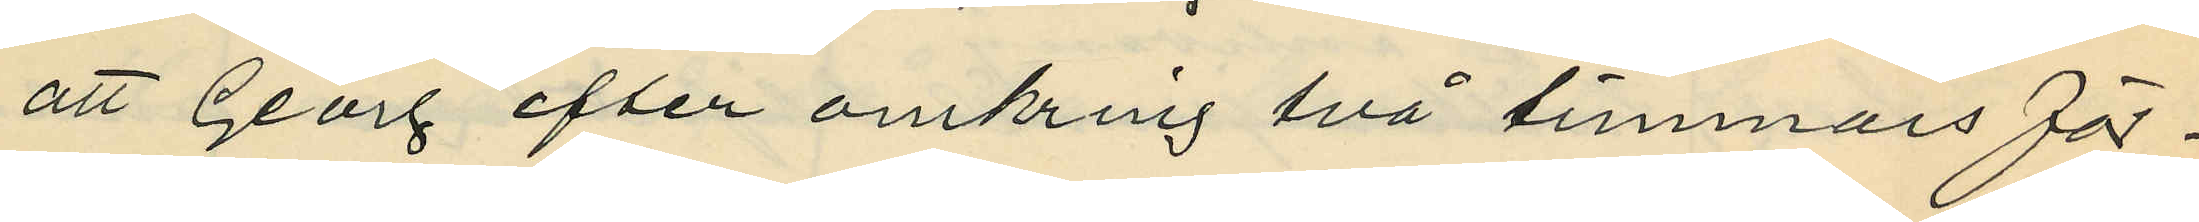att Georg efter omkring två timmars för¬
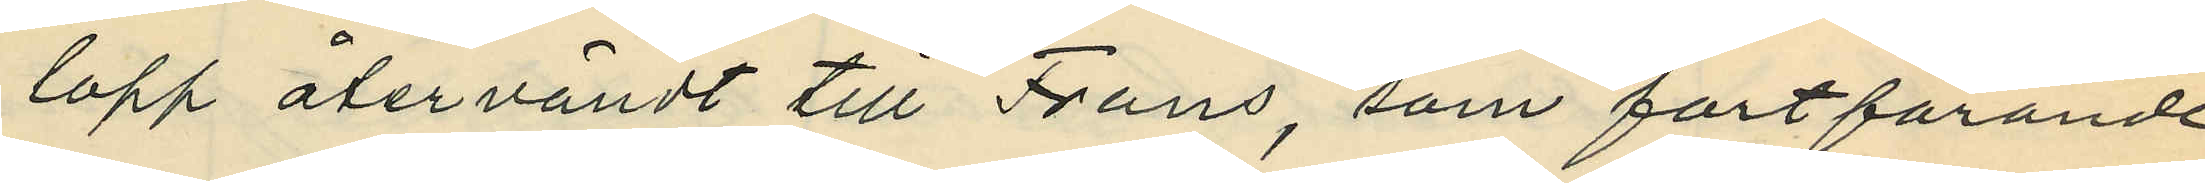lopp återvändt till Frans, som fortfarande
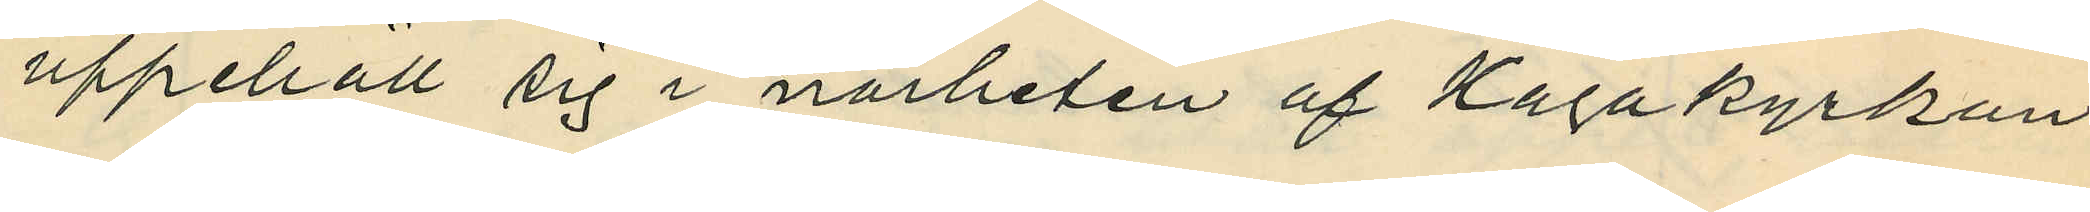uppehöll sig i närheten af Hagakyrkan,
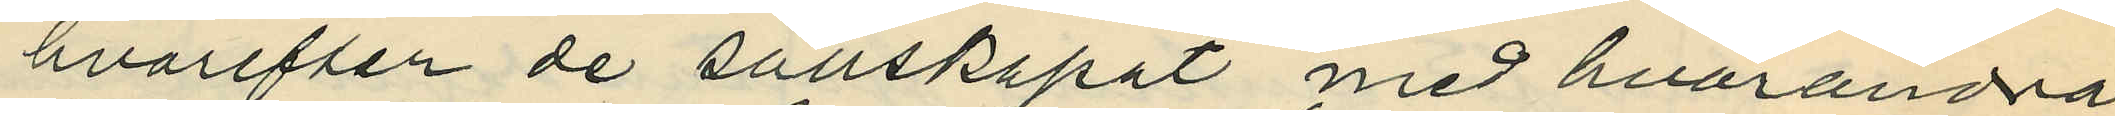hvarefter de sällskapat med hvarandra
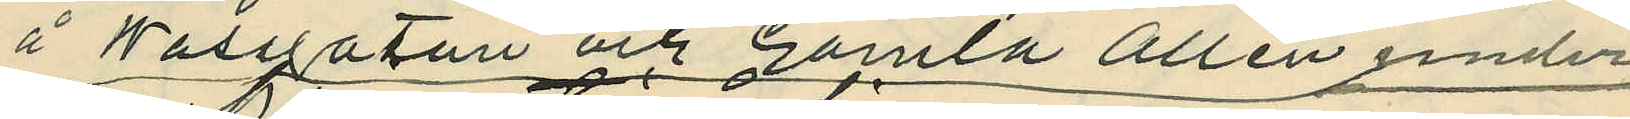å Wasagatan och Gamla Allén under
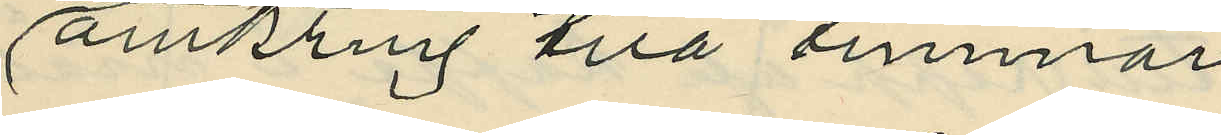omkring två timmar;
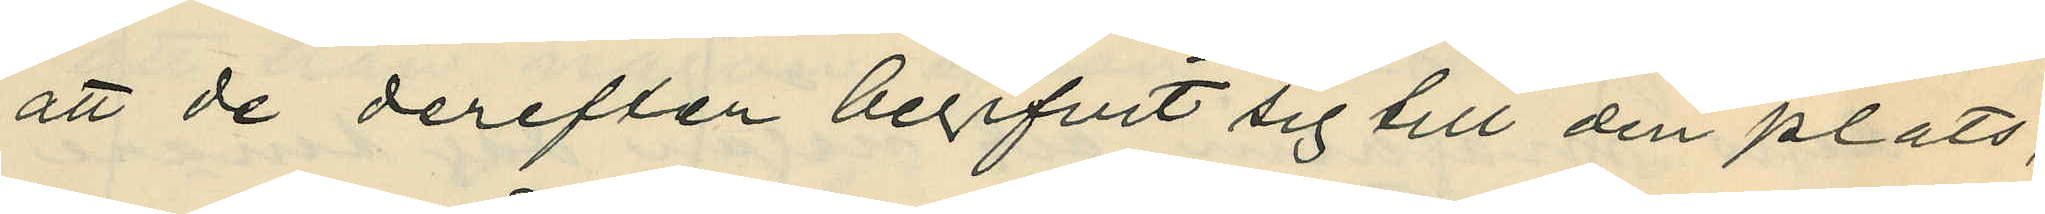att de derefter begifvit sig till den plats,
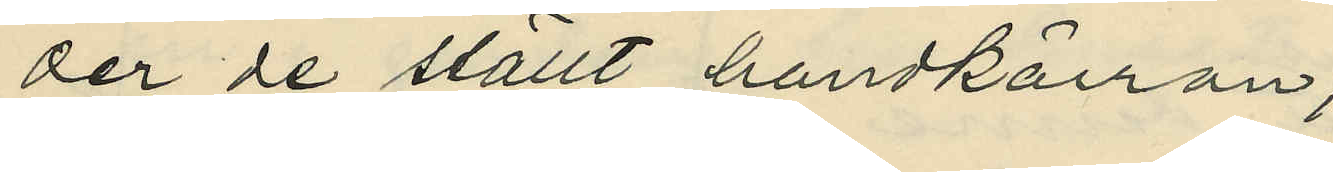der de ställt handkärran;
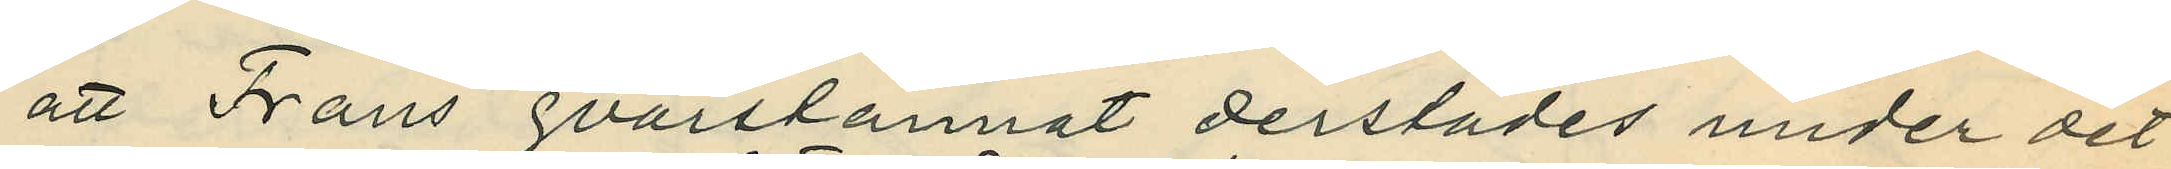att Frans qvarstannat derstädes under det
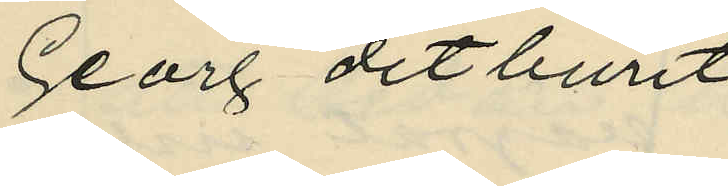Georg ditburit
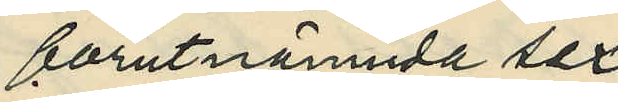förutnämnda sex
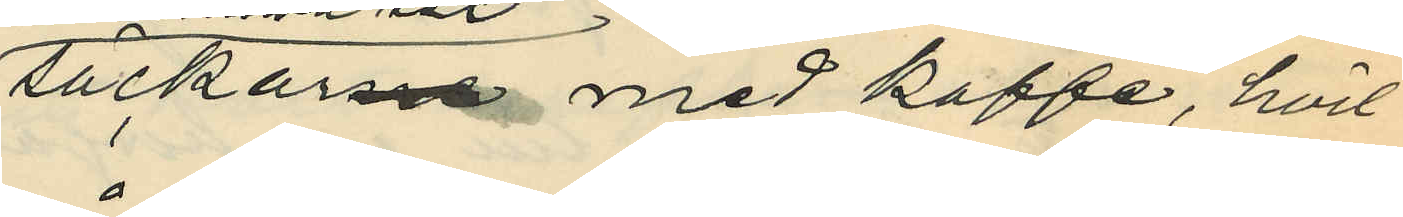säckarne med kaffe, hvil¬
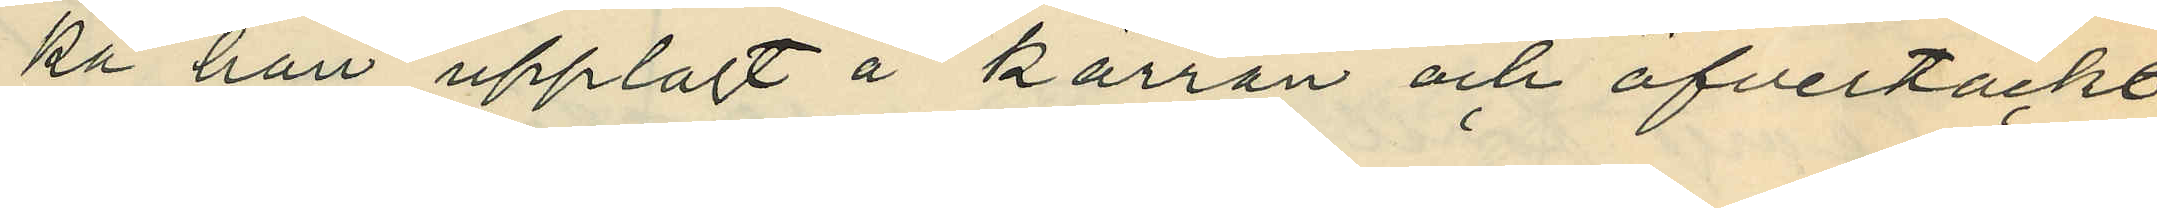ka han upplagt å kärran och öfvertäckt
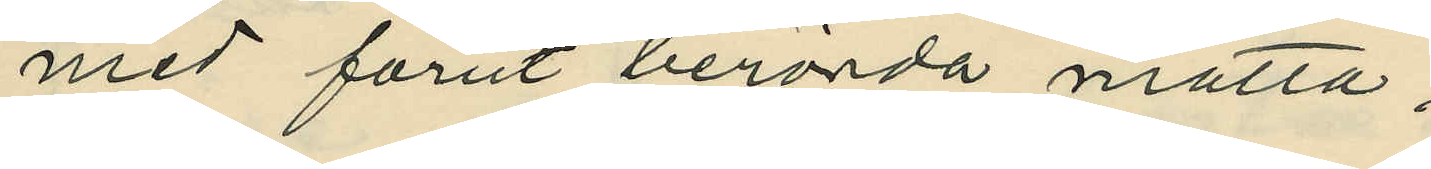med förut berörda matta;
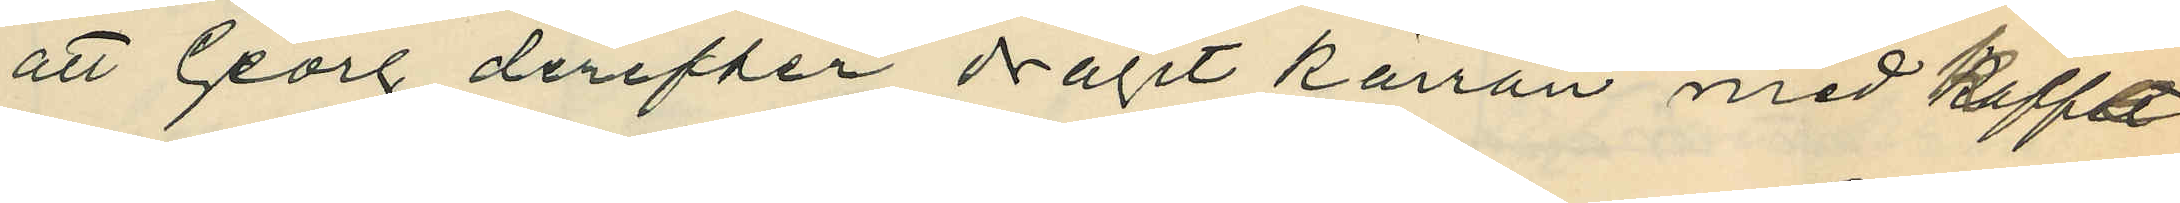att Georg derefter dragit kärran med kaffe
